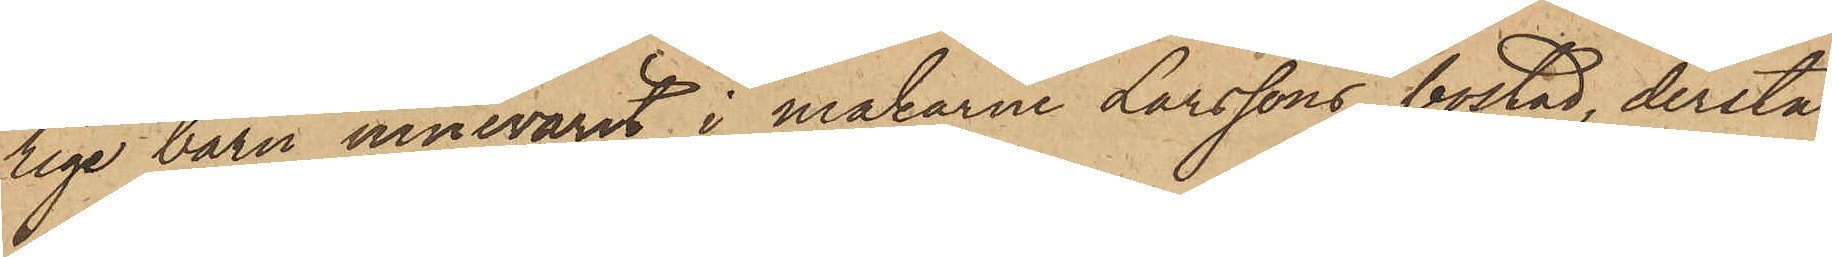rige barn innevarit i makarne Larssons bostad, derstä¬
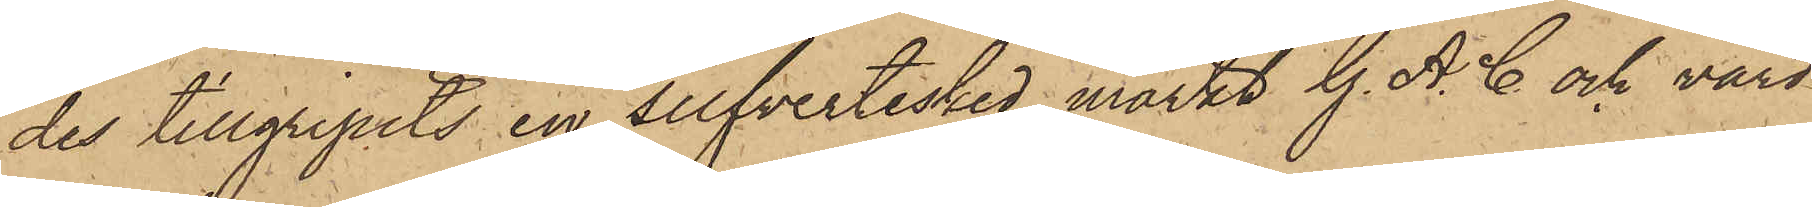des tillgripits en silfvertesked märkt G. A. C. och värd
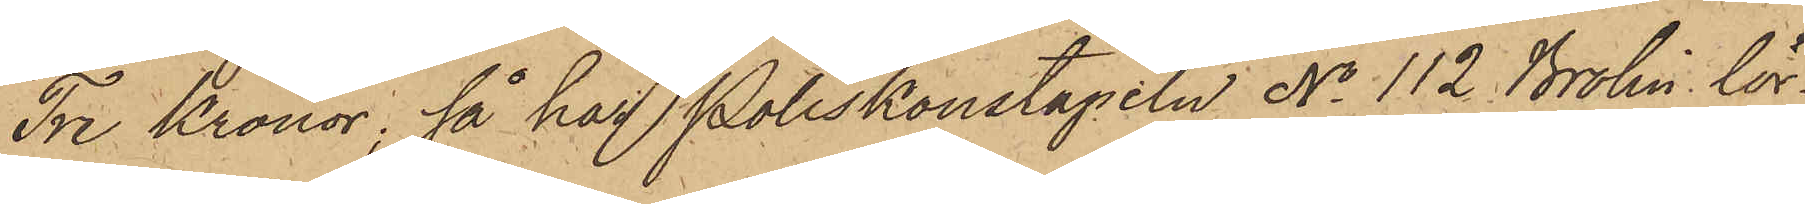Tre Kronor; så har Poliskonstapeln No 112 Brolin, lör¬
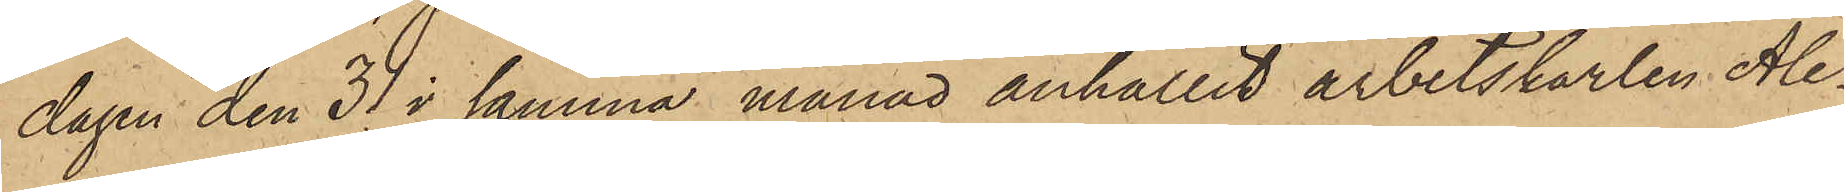dagen den 31 i samma månad anhållit arbetskarlen Ale¬
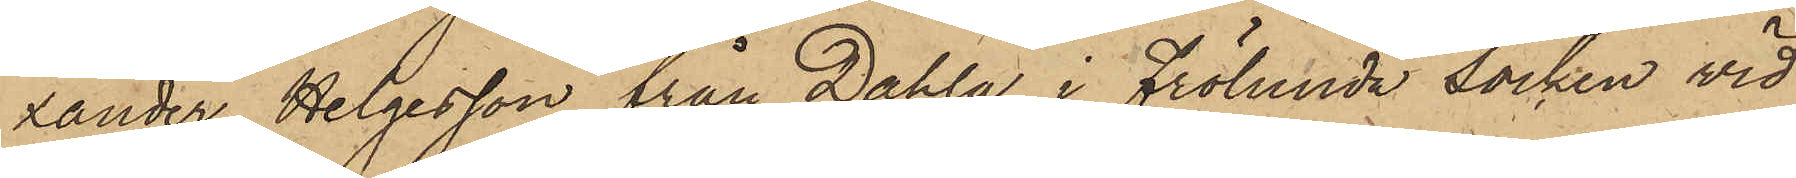xander Helgesson från Dahla i Frölunda socken vid
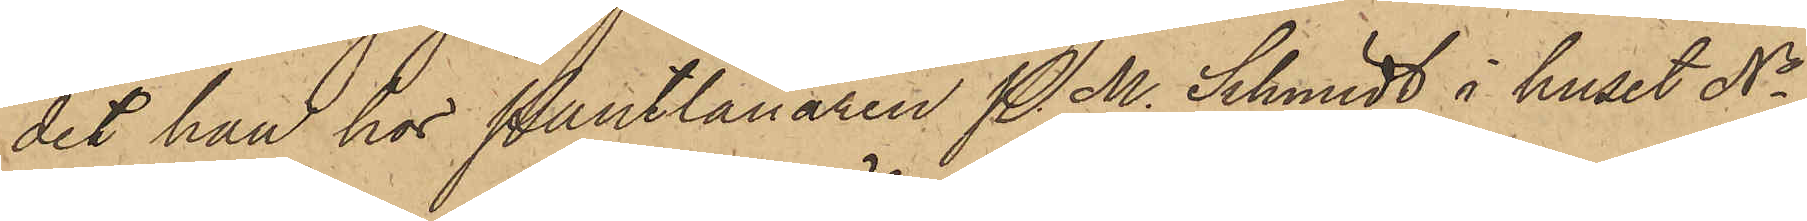det han hos Pantlånaren P. M. Schmidt i huset No
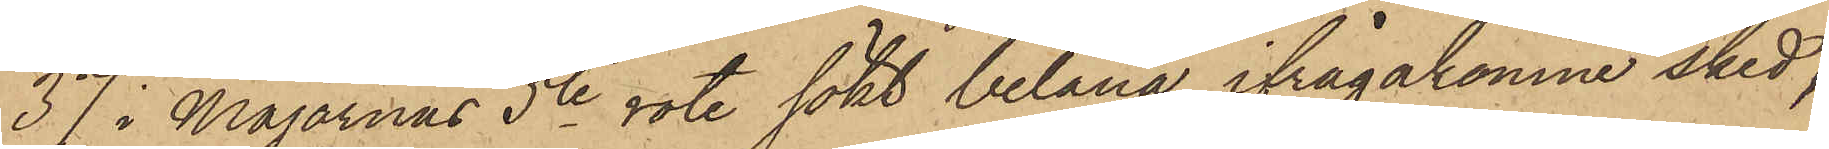37 i Majornas 5te rote sökt belåna ifrågakomne sked,
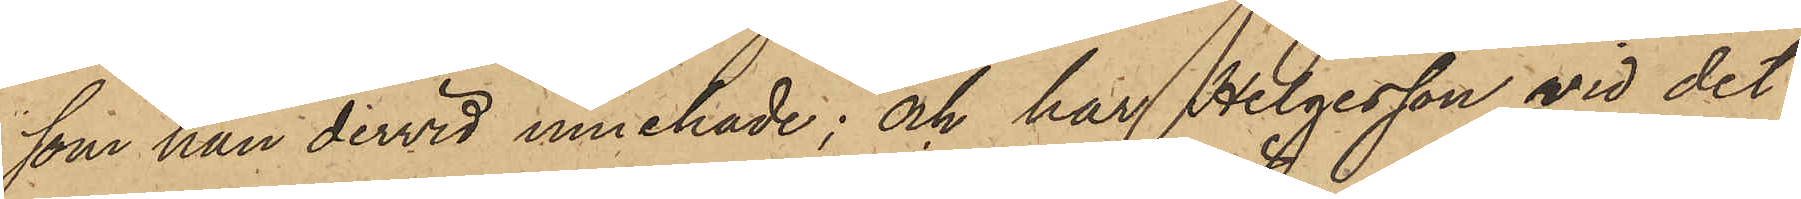som han dervid innehade; och har Helgesson vid det
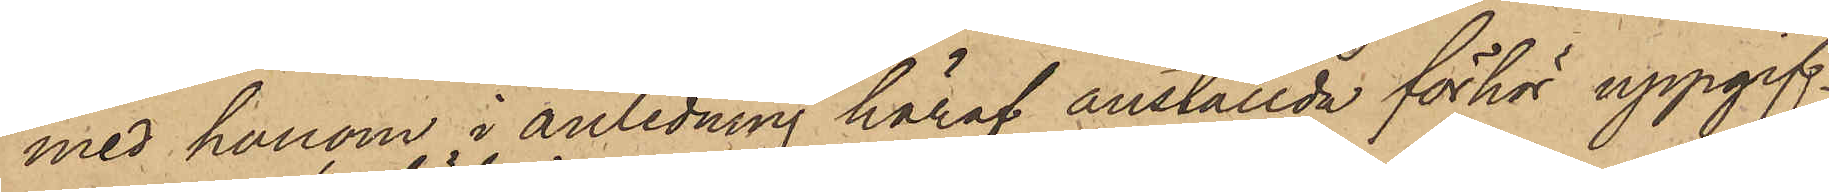med honom i anledning häraf anställda förhör uppgif¬
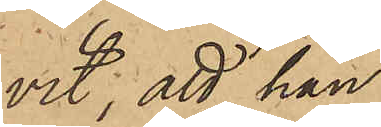vit; att han
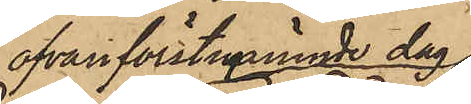ofvan förstnämnde dag
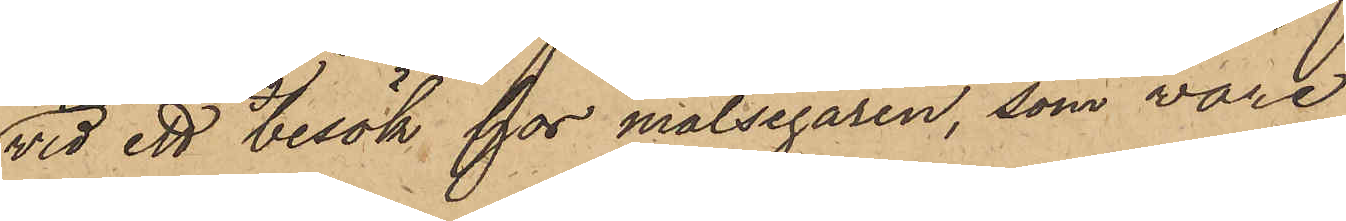vid ett besök hos målsegaren, som vore
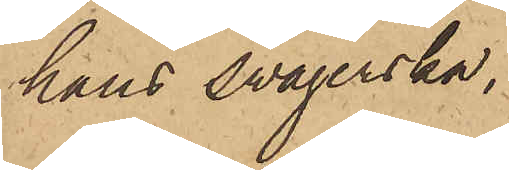hans swägerska,
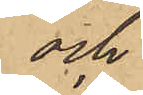och
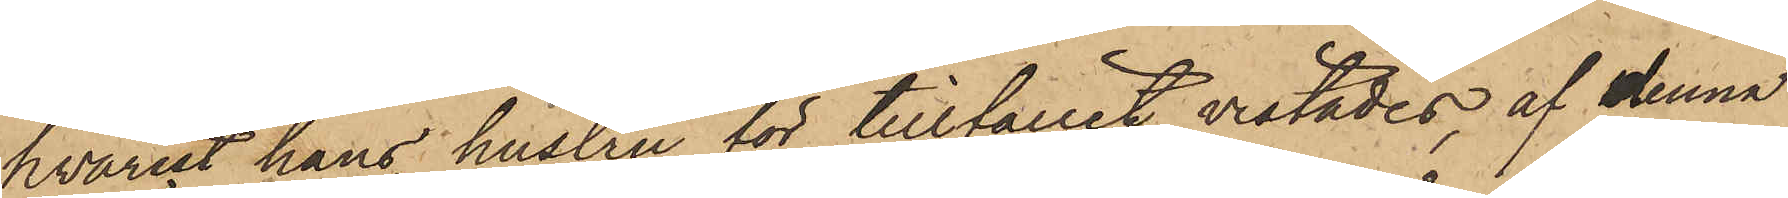hvarest hans hustru för tillfället vistades, af denna
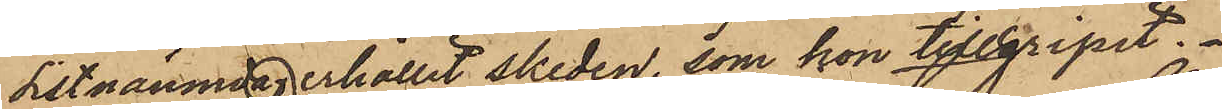sistnämnda erhållit skeden, som hon tillgripit.
